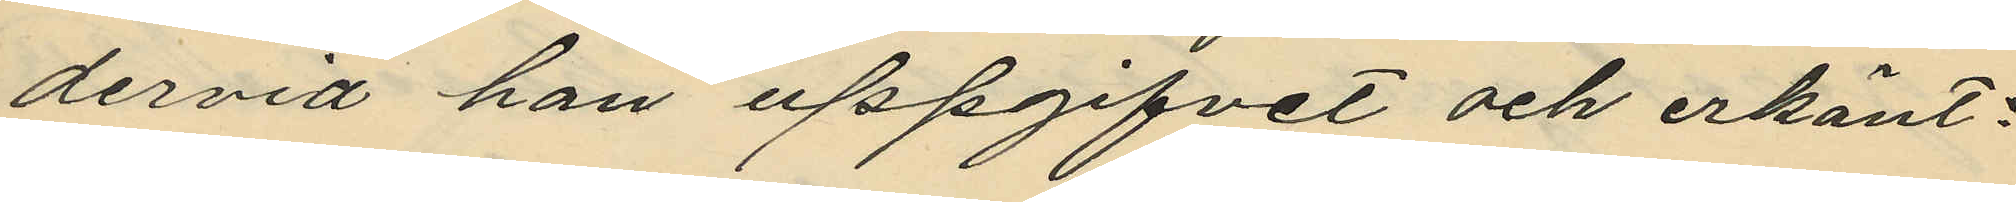dervid han uppgifvet och erkänt:
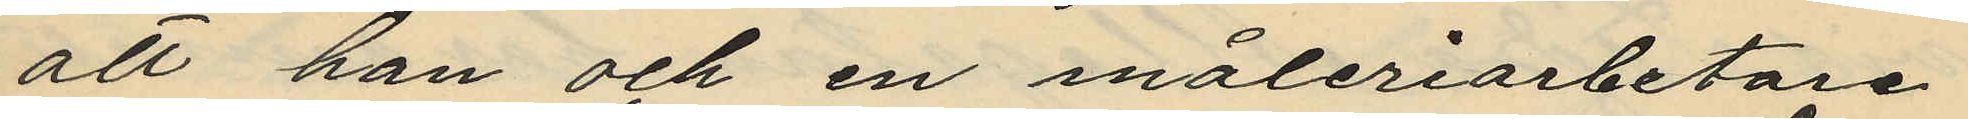att han och en måleriarbetare
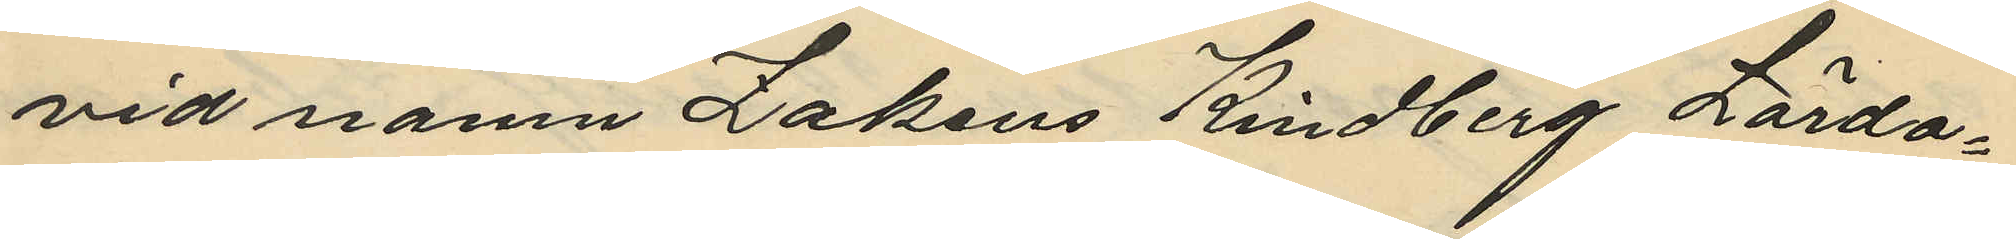vid namn Zakeus Kindberg Lörda¬
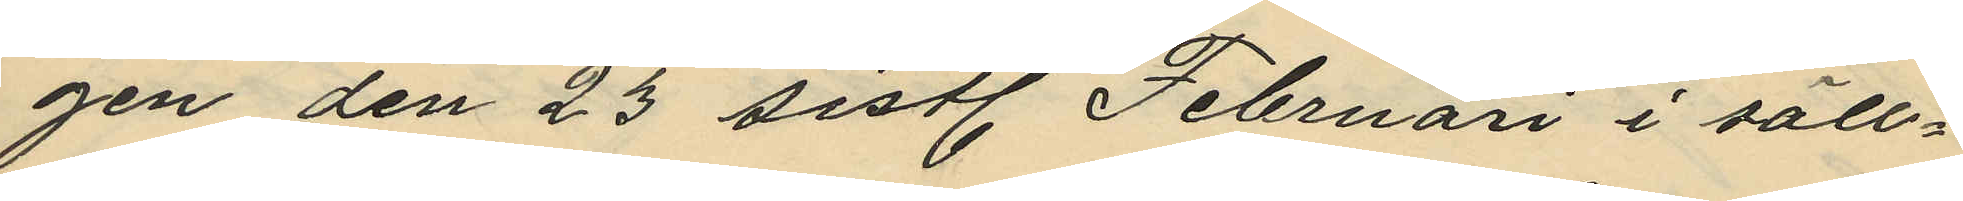gen den 23 sistl. Februari i säll¬
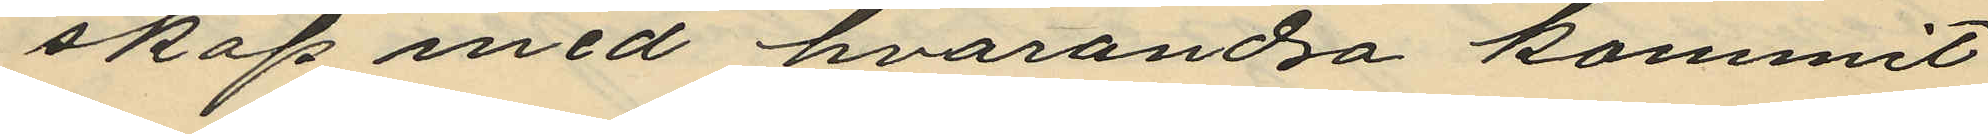skap med hvarandra kommit
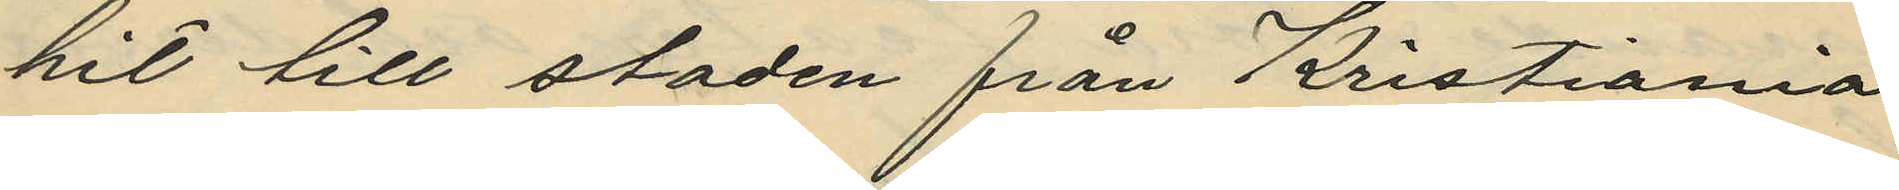hit till staden från Kristiania
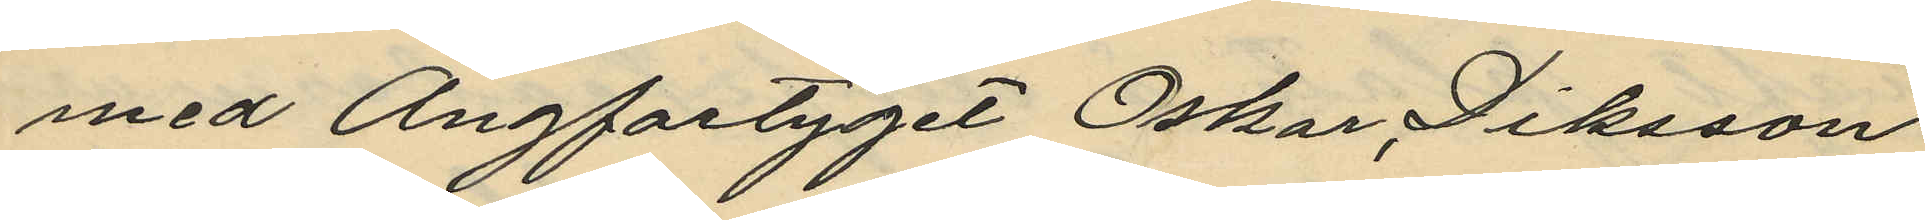med Ångfartyget Oskar Diksson
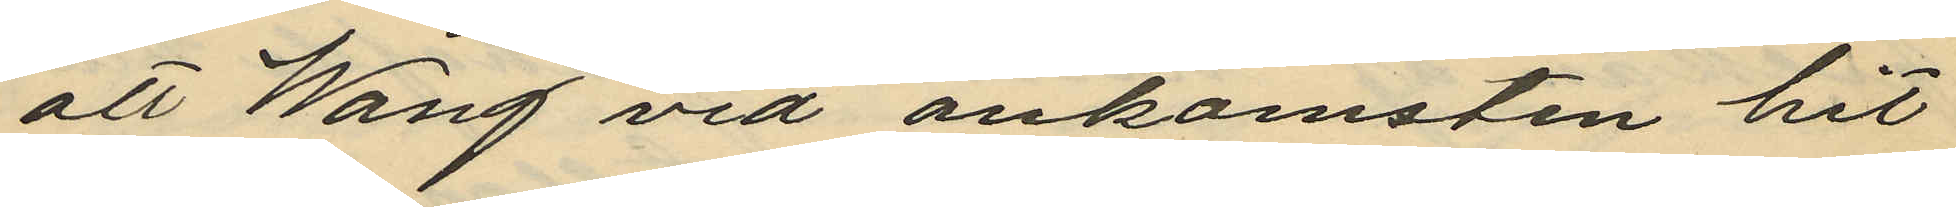att Wang vid ankomsten hit
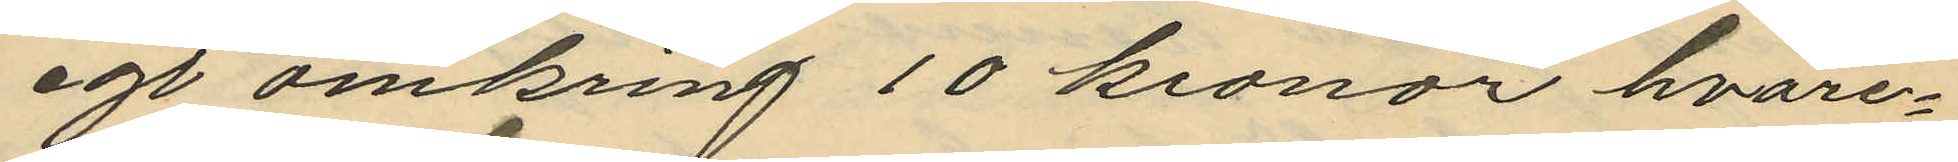egt omkring 10 kronor hvare¬
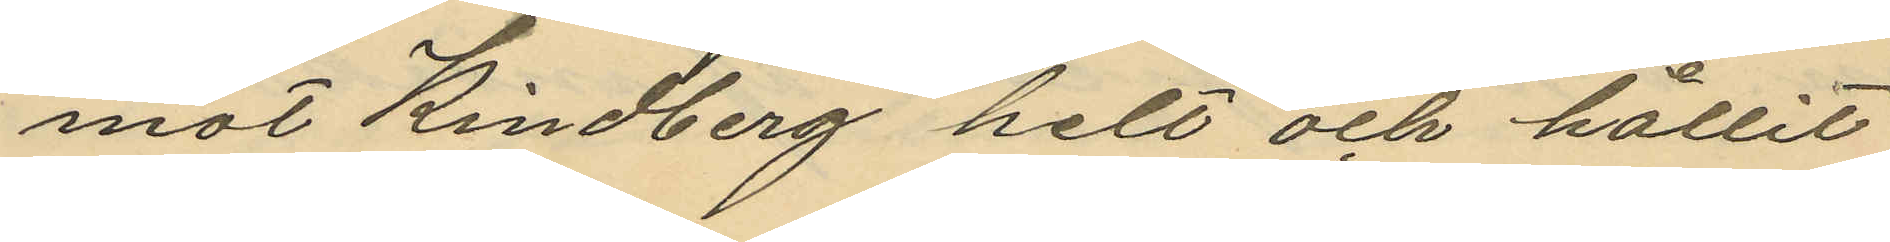mot RKndberg helt och hållit
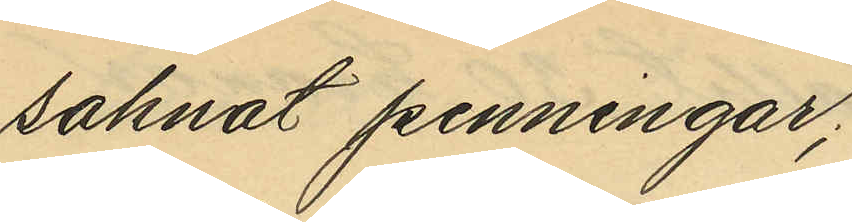saknat penningar;
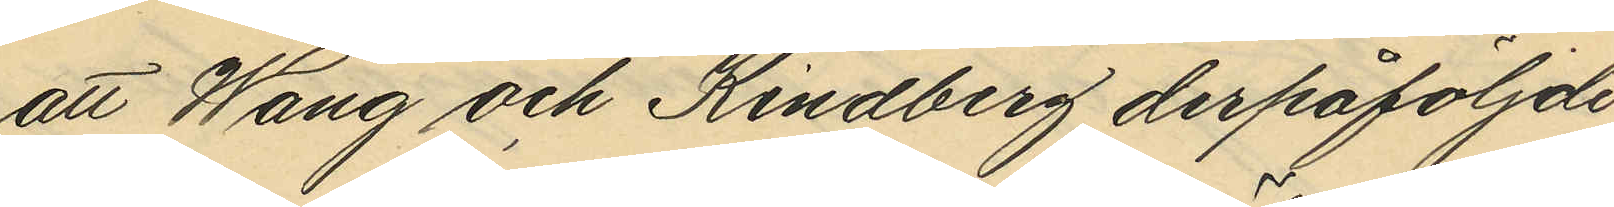att Wang och Kindberg derpåföljde
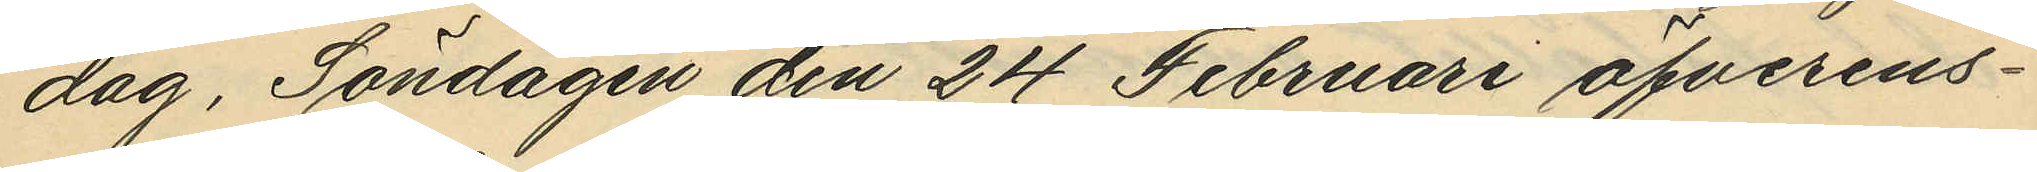dag, Söndagen den 24 Februari öfverens¬
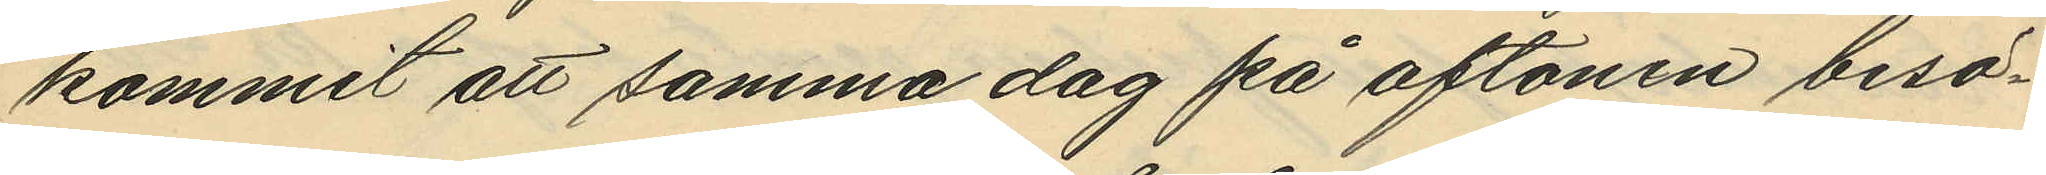kommit att samma dag på aftonen besö¬
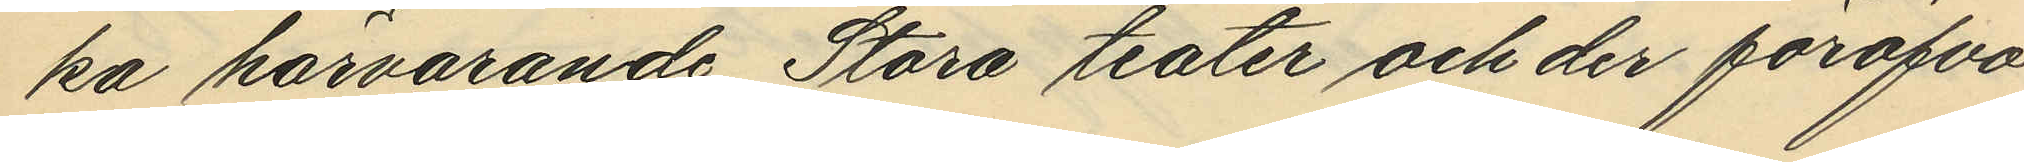ka härvarande Stora teater och der föröfva
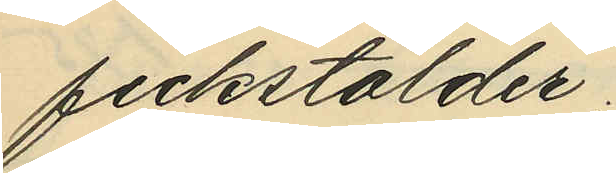fickstölder.
